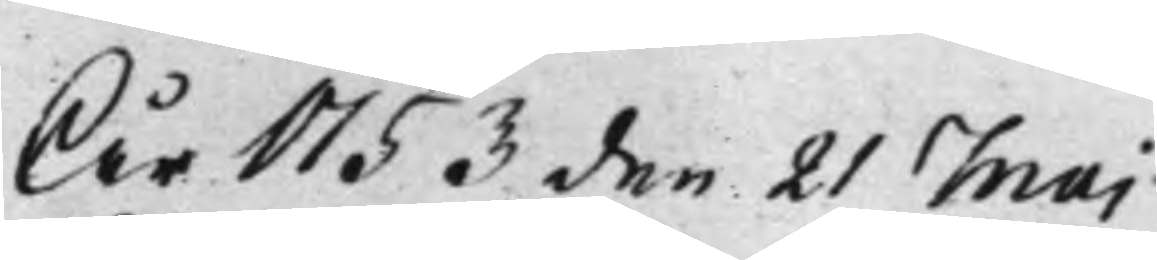År 1753 den 21 Maj
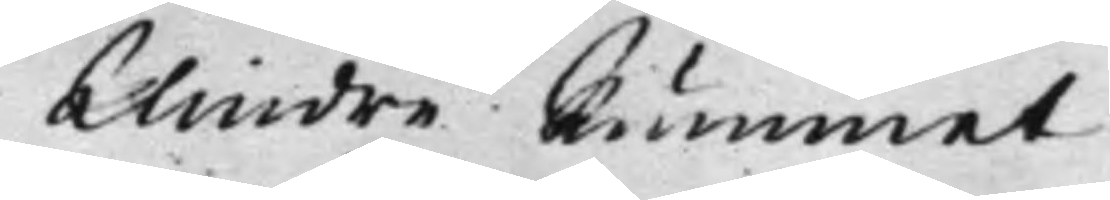Mindre Rummet
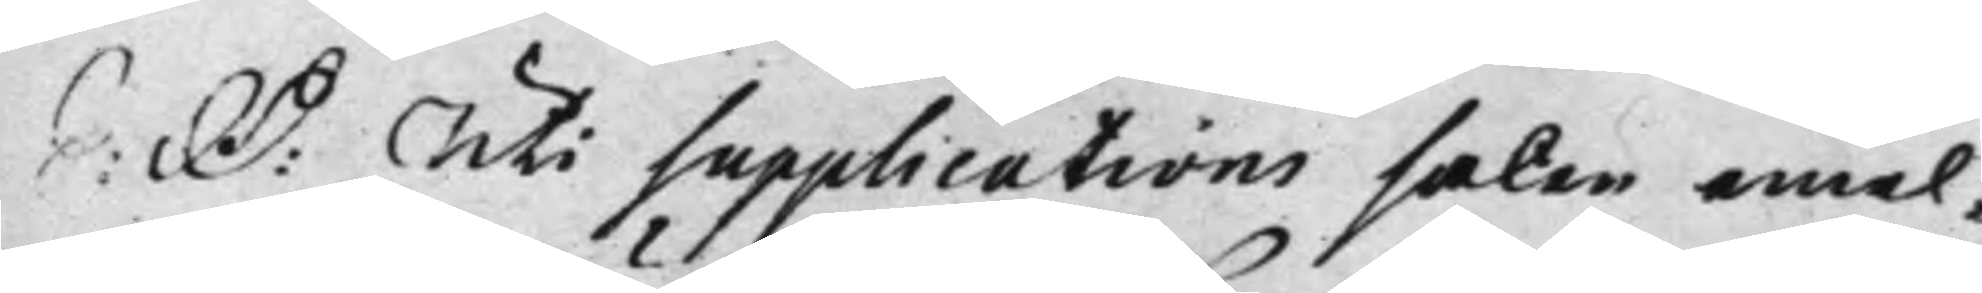S: D: Uti supplications saken emel¬
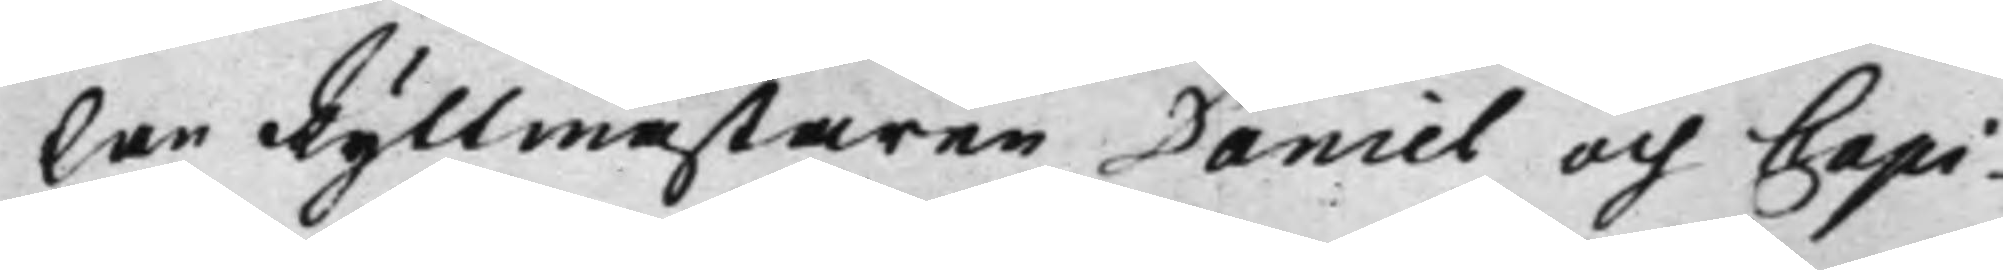lan Ryttmästaren Daniel och Capi¬
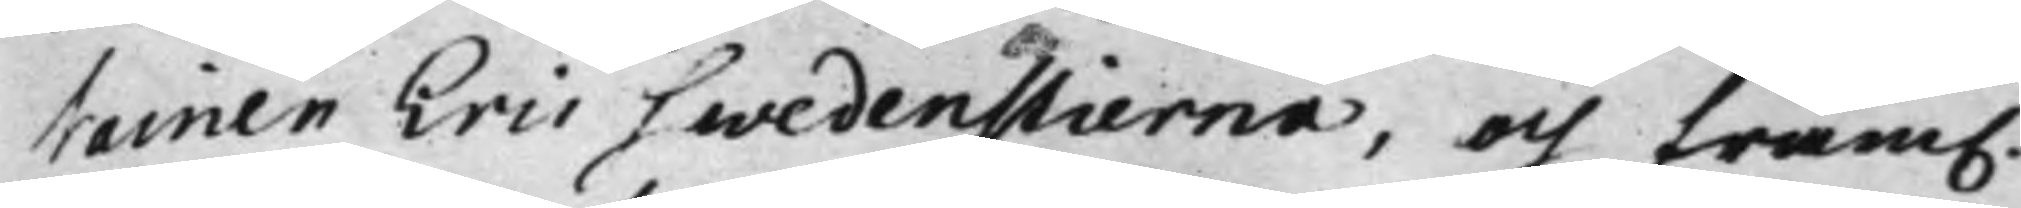tainen Eric Swedenstierna, och fram.
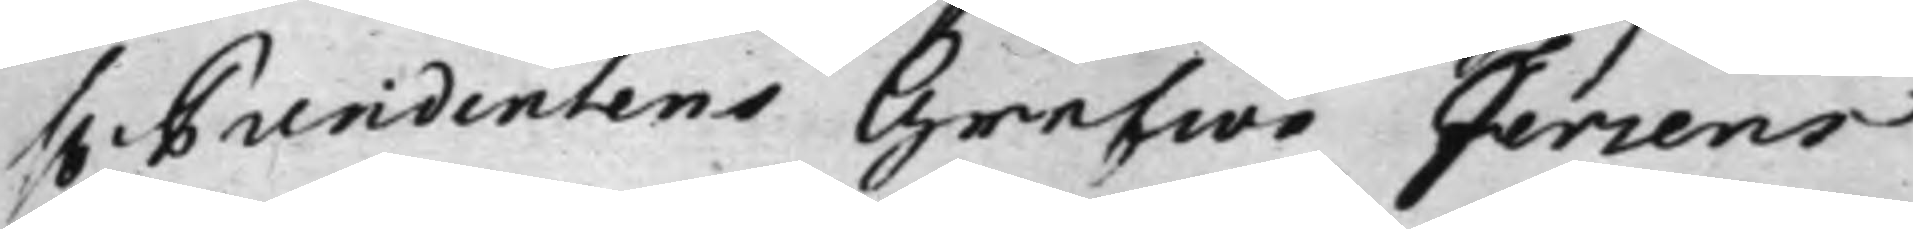h. Presidentens Grefwe Fersens
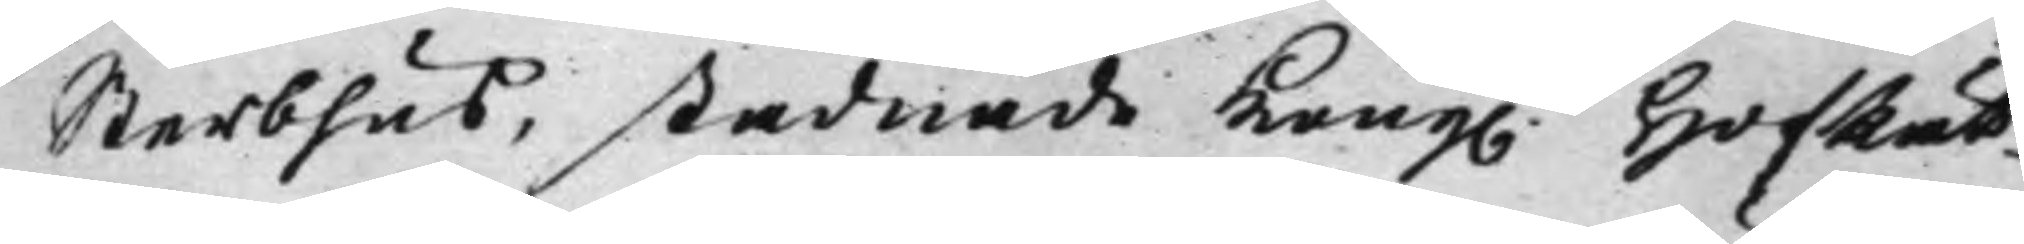Sterbhus, stadnade Kong. HofRät¬
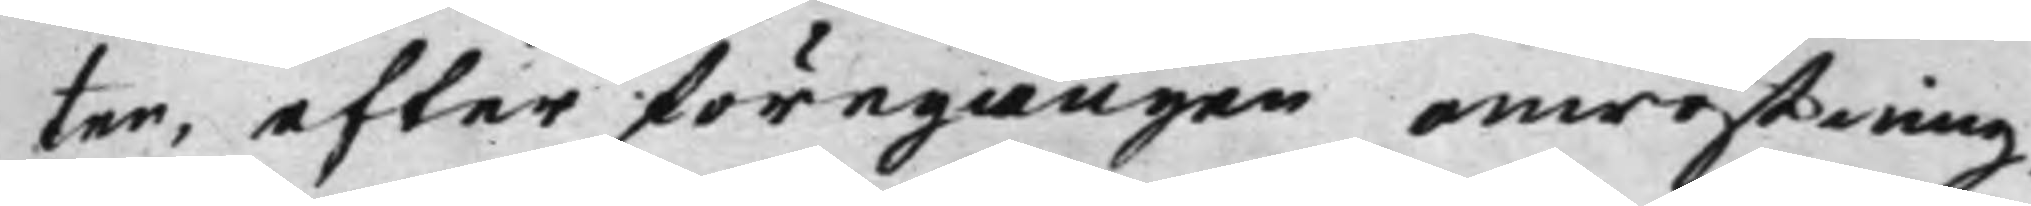ten, efter föregången omröstning,
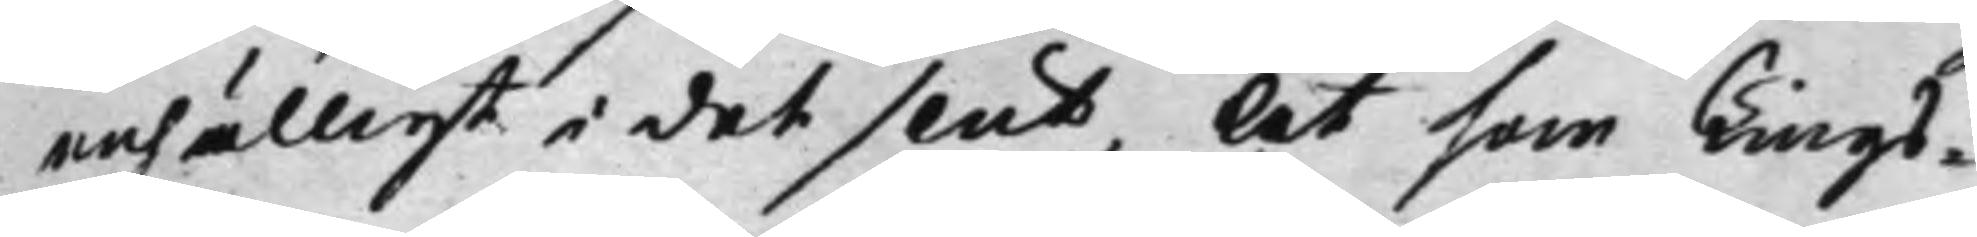enhälligt i det slut, At som Tings¬
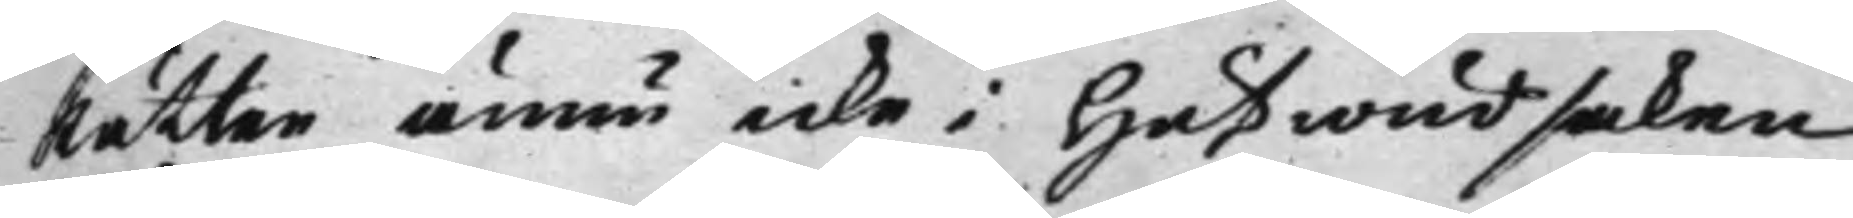Rätten ännu icke i Hufwudsaken
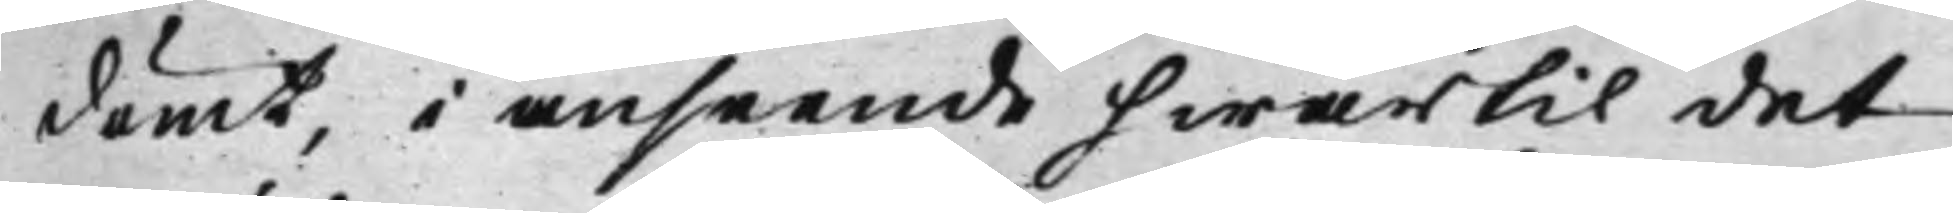dömt, i anseende hwartil det
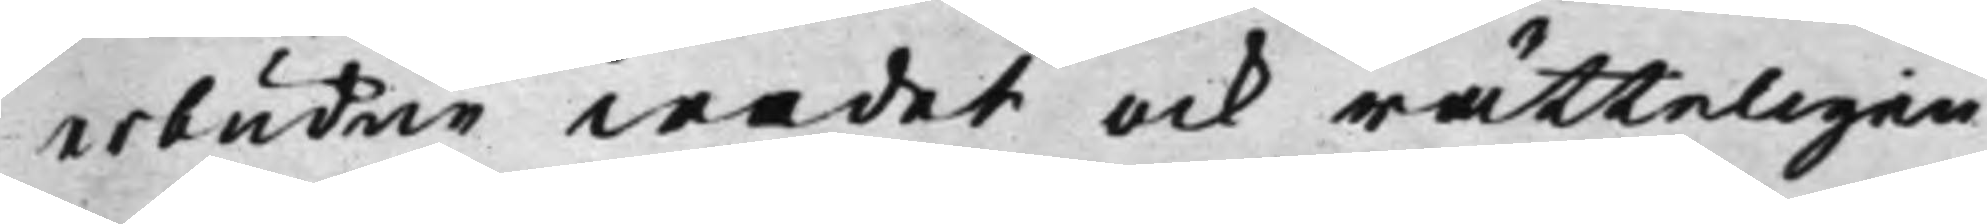erbudne wadet ock rätteligen
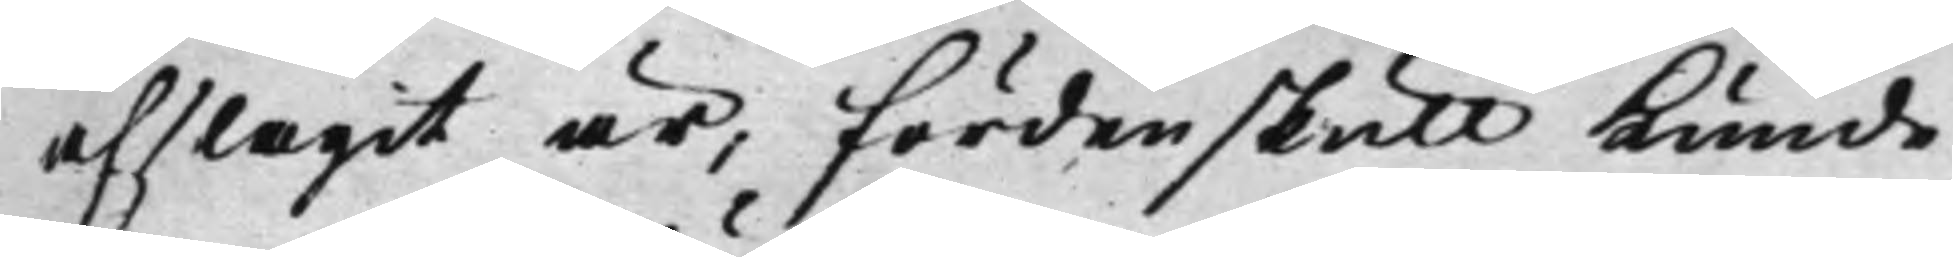afslagit är, Fördenskull Kunde
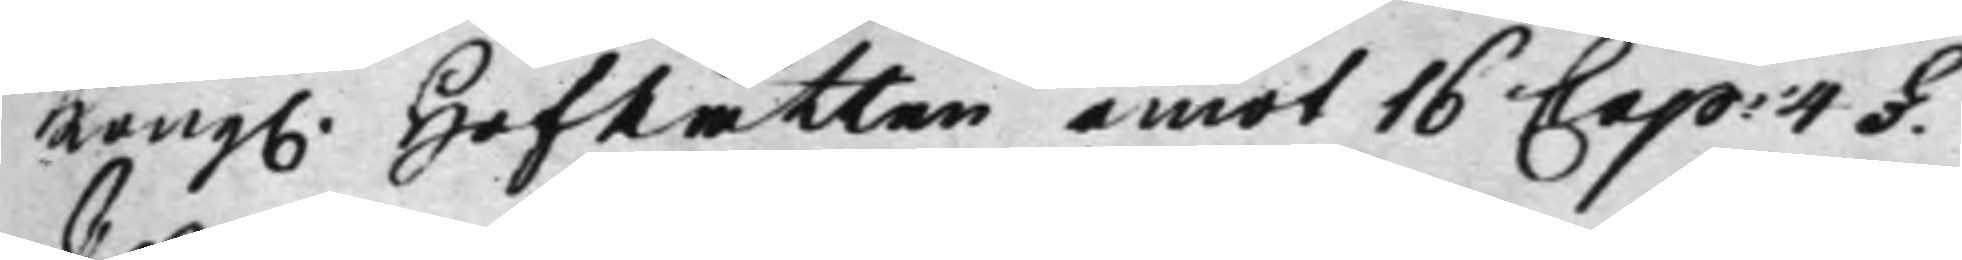Kong. HofRätten emot 16 Cap: 4 §.
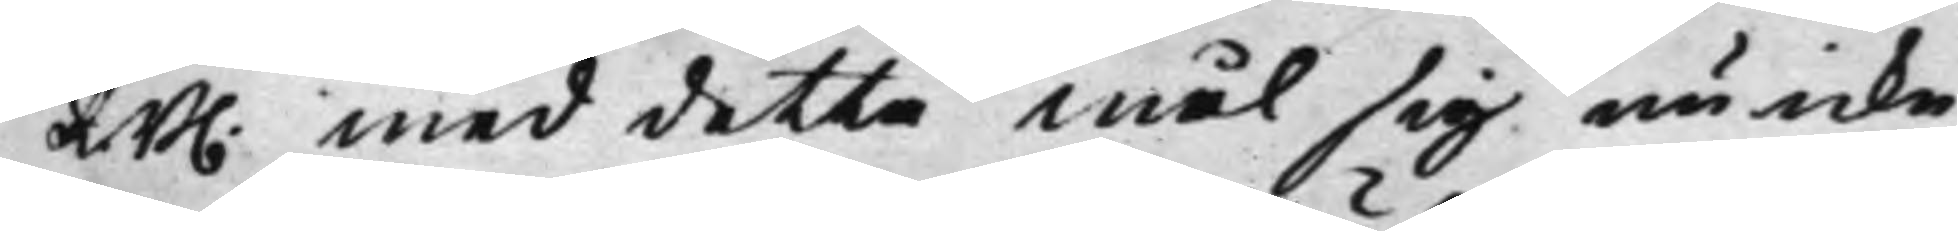R.B. med detta mål sig nu icke
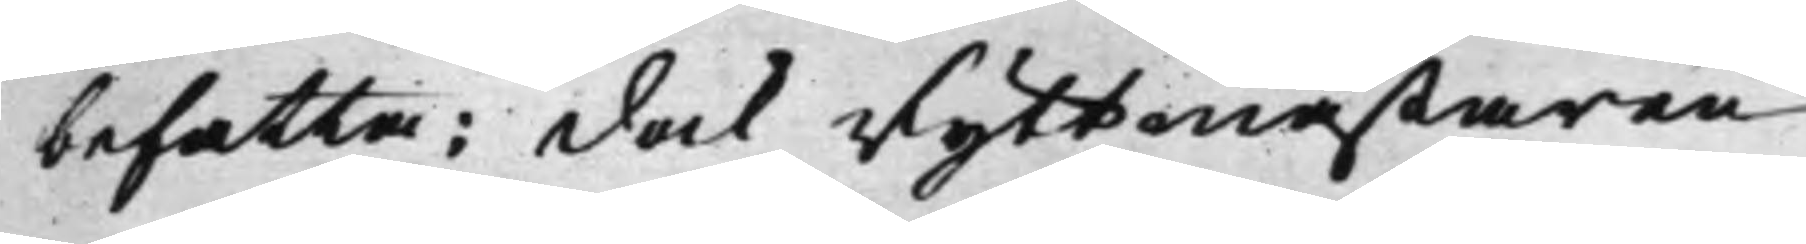befatta: Dock Ryttmästaren
